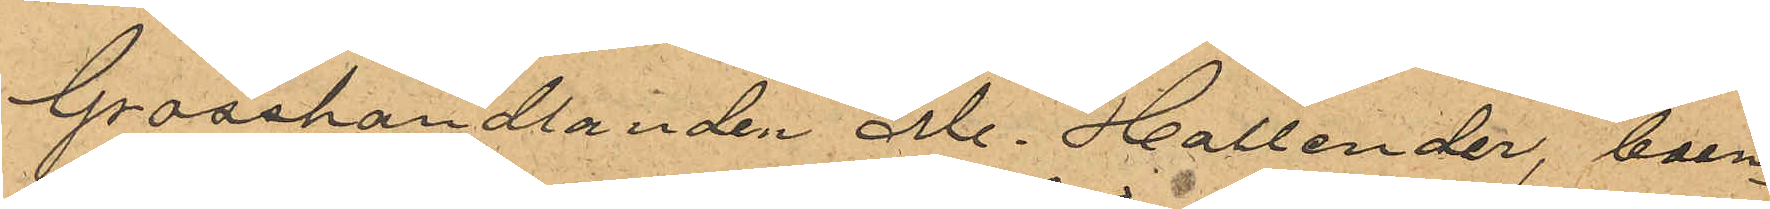Grosshandlanden M. Hollender, boen¬
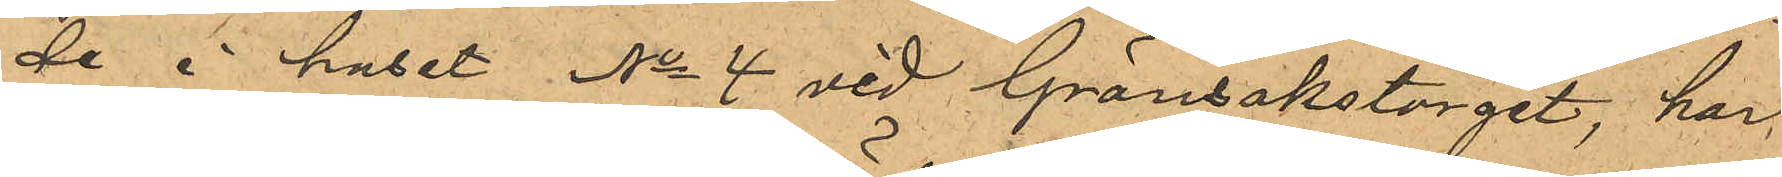de i huset No 4 vid Grönsakstorget, har
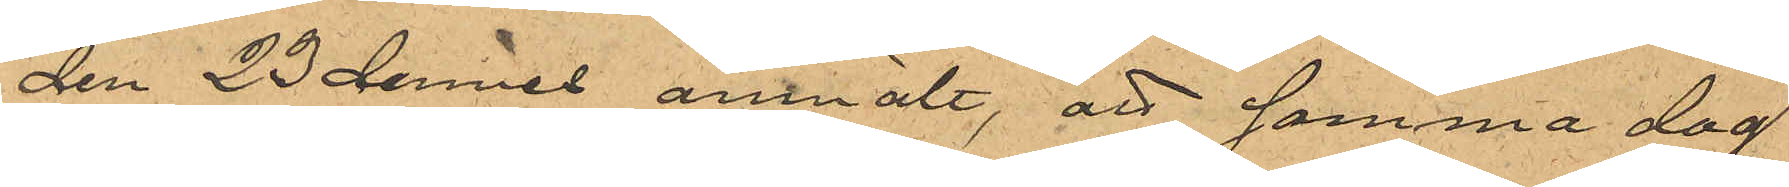den 23 dennes anmält, att samma dag
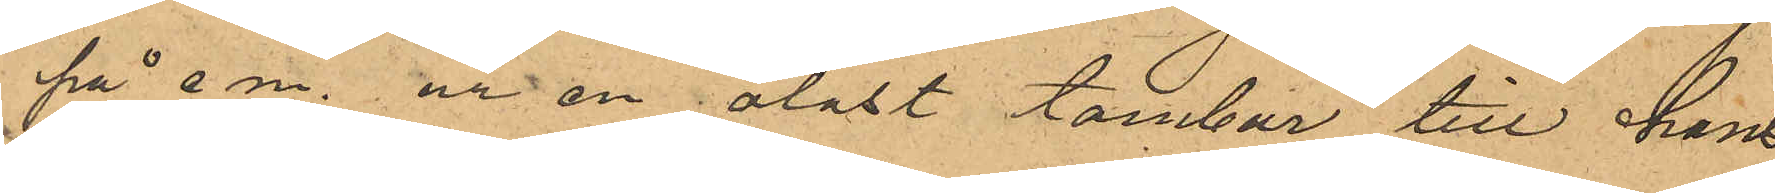på e.m. ur en olåst tambur till hans
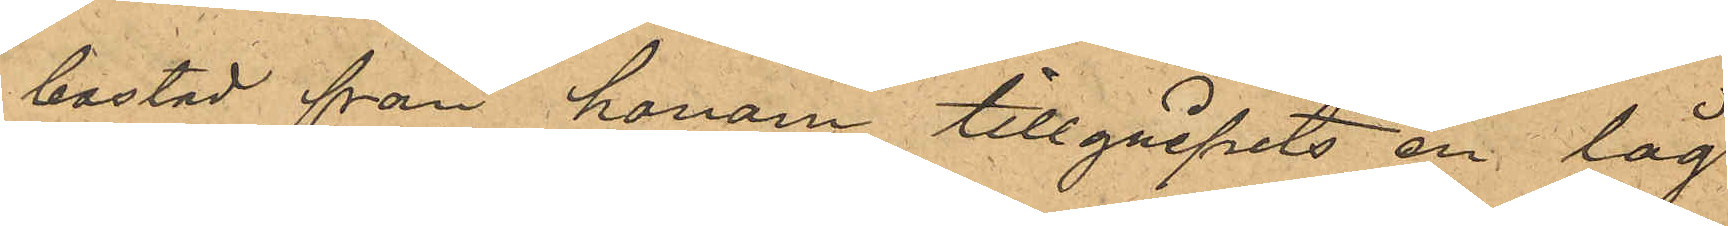bostad från honom tillgripits en låg
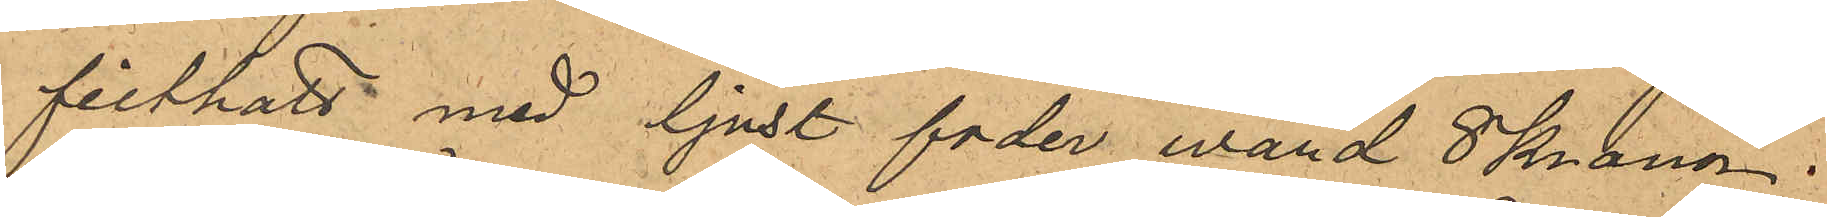filthatt med ljust foder wärd 8 Kronor,
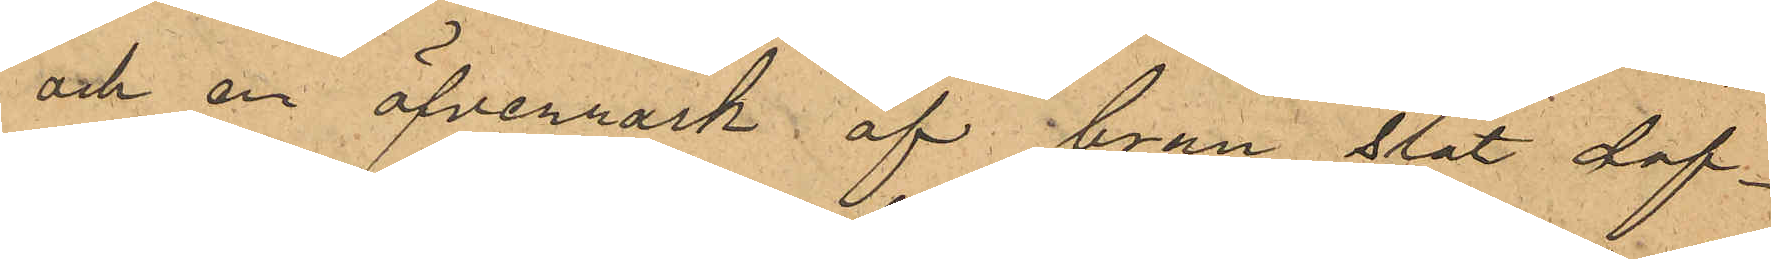och en öfverrock af brun slät dof¬
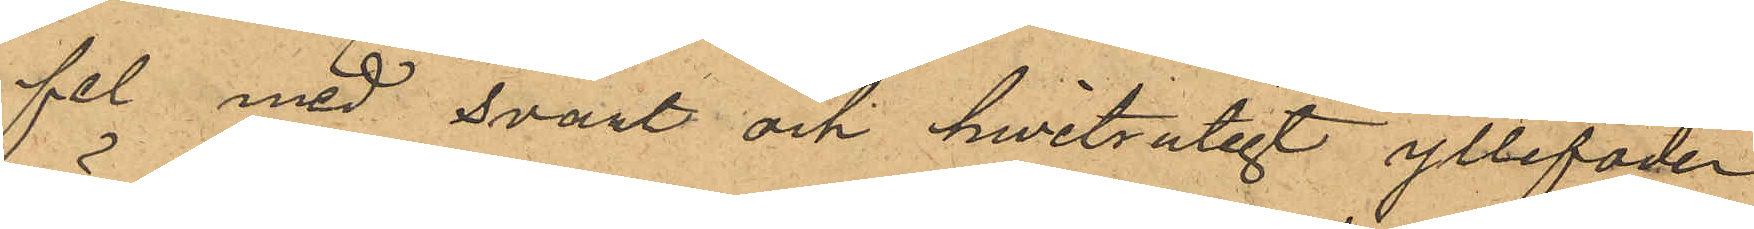fel med svart och hwitrutigt yllefoder
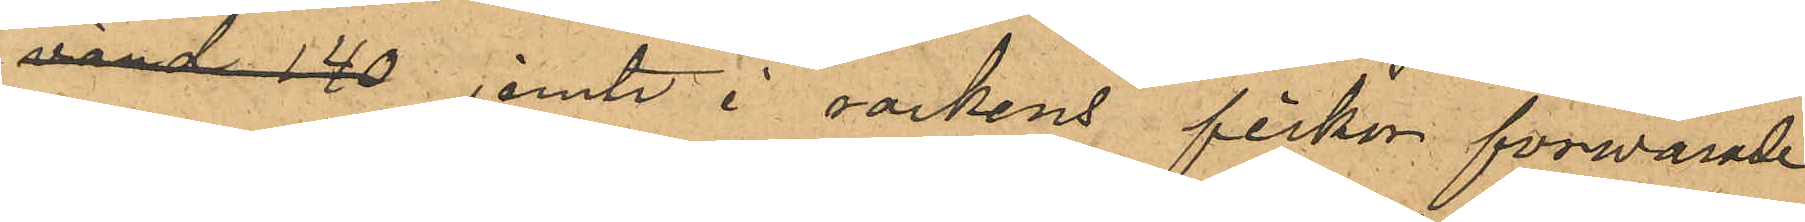värd 140 jemte i rockens fickor förwarade
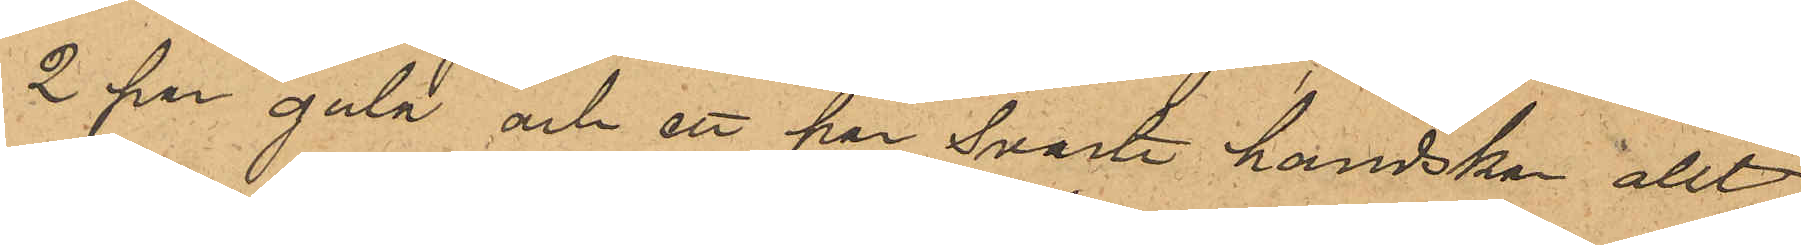2 par gula och ett par svarte handskar allt¬
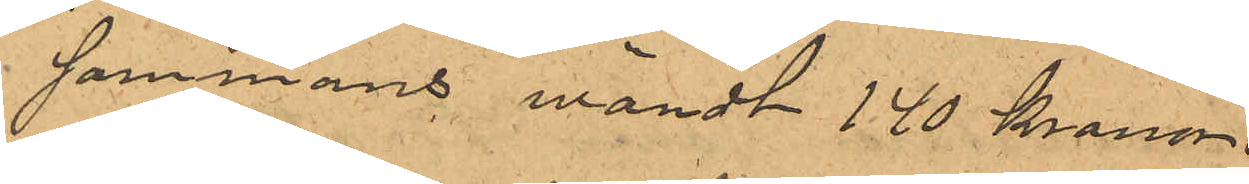sammans wärdt 140 kronor.
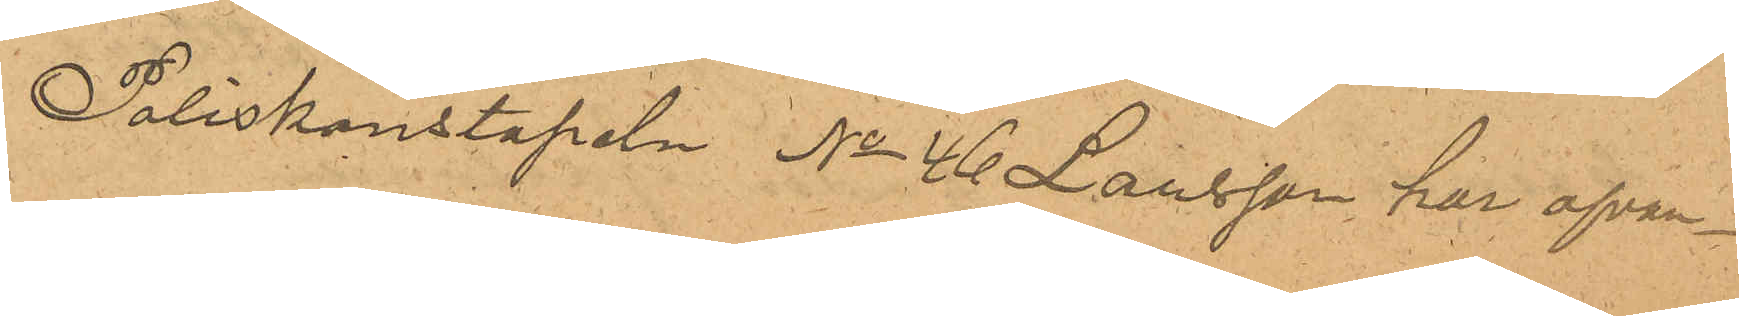Poliskonstapeln No 46 Larsson, har ofvan¬
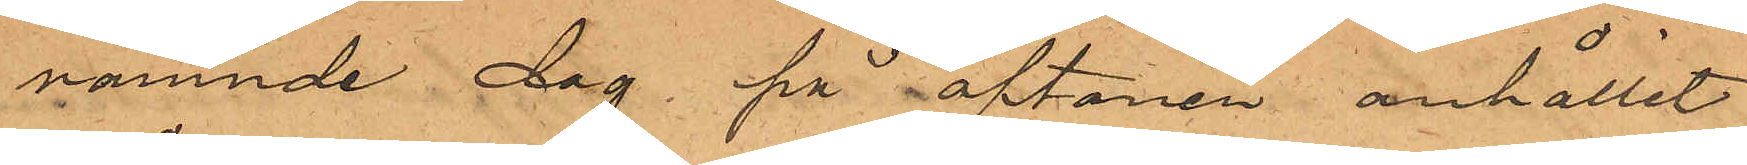nämnde dag på aftonen anhållit
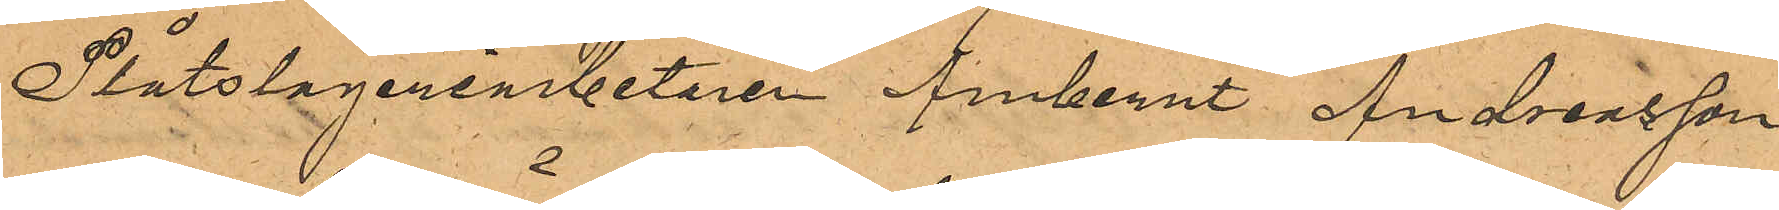Plåtslageriarbetaren Ambernt Andreasson
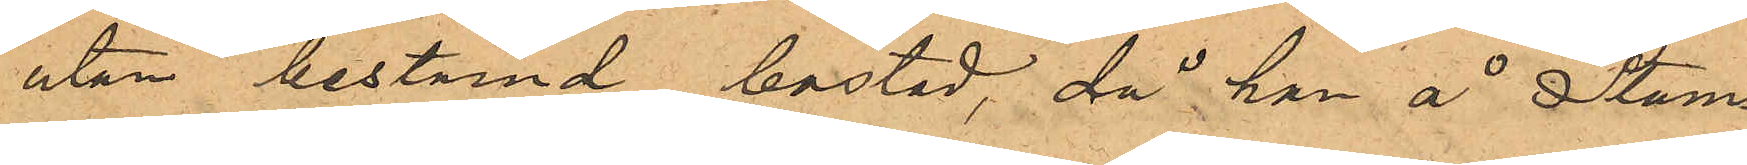utan bestämd bostad, då han å Stam¬
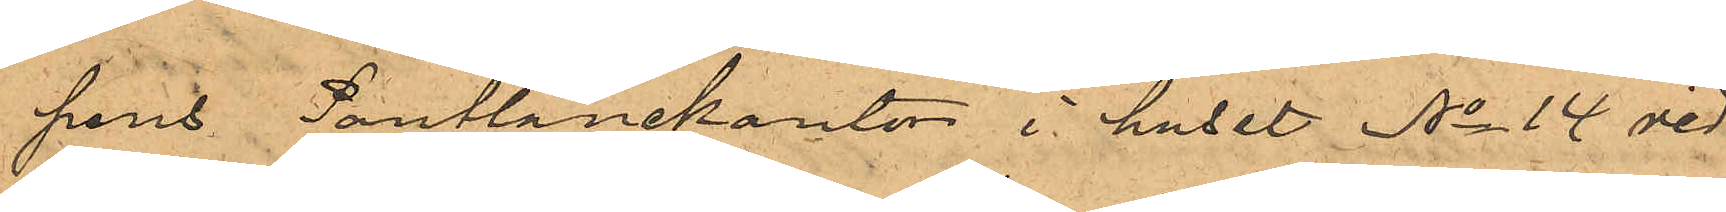pens Pantlånekontor i huset No 14 vid
